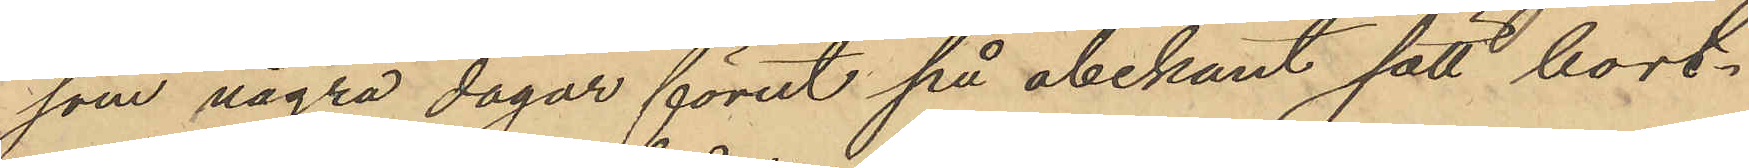som några dagar förut på obekant sätt bort¬
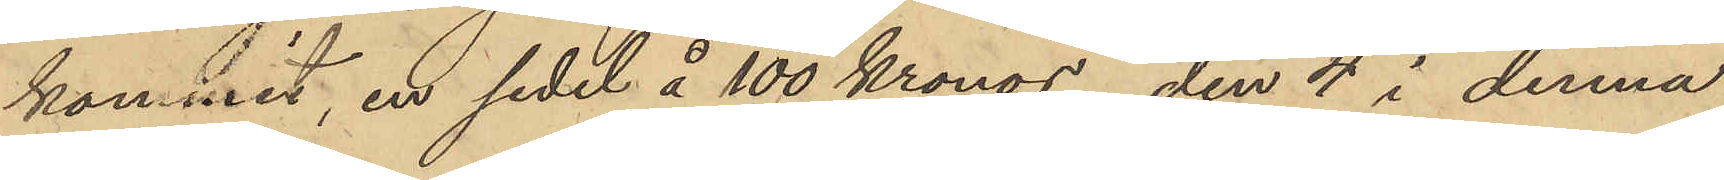kommit, en sedel å 100 Kronor, den 4 i denna
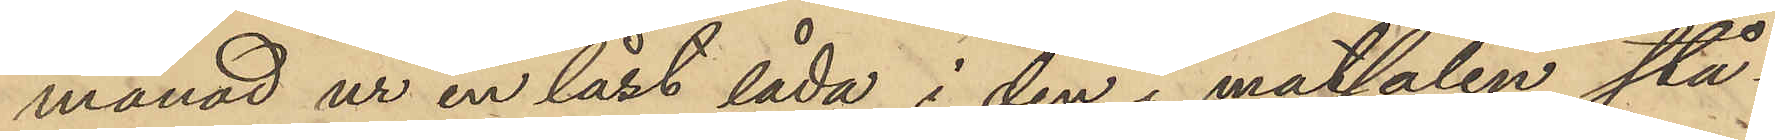månad ur en låst låda i den i matsalen stå¬
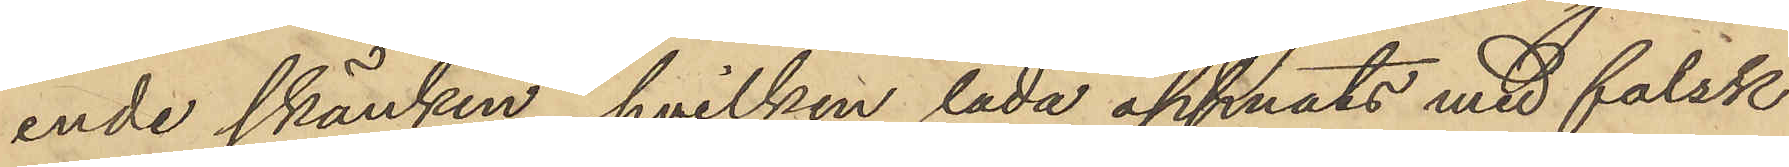ende skänken, hvilken låda öppnats med falsk
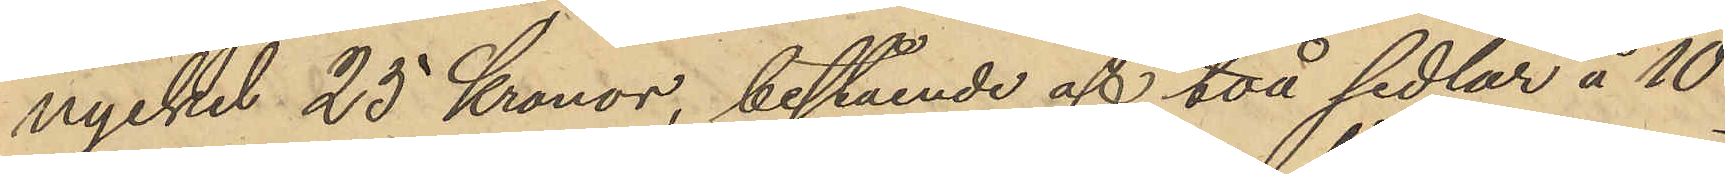nyckel 25 Kronor, bestående af två sedlar å 10
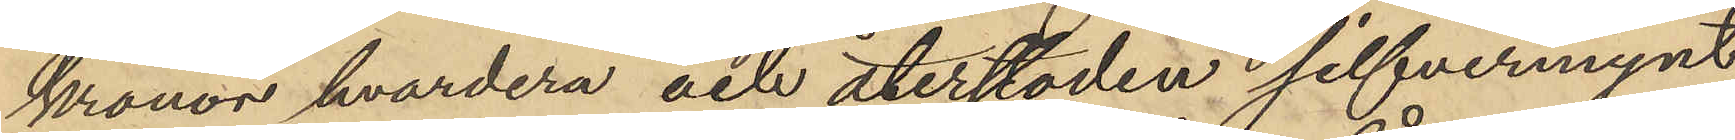kronor hvardera och återstoden silfvermynt,
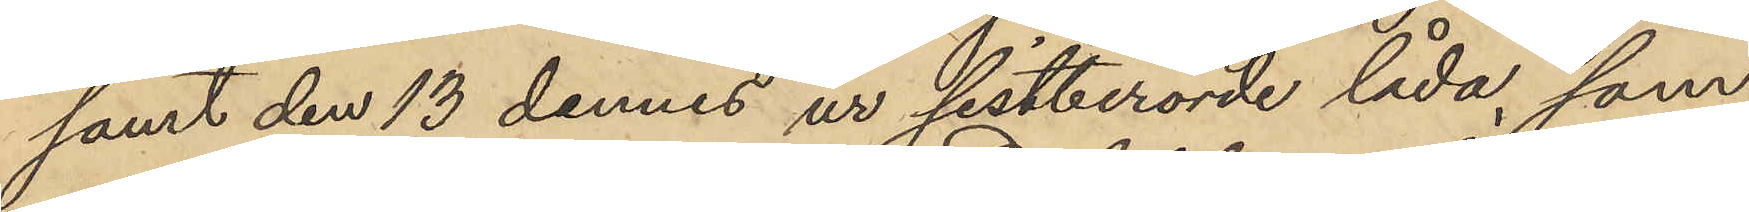samt den 13 dennes ur sistberörde låda, som
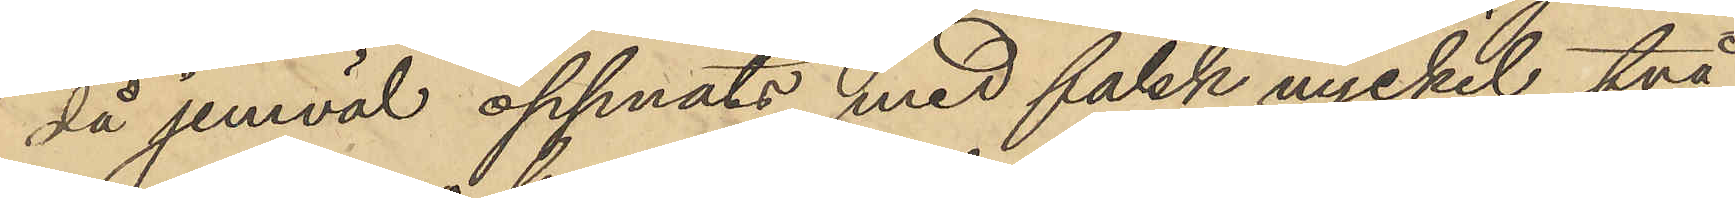då jemväl öppnats med falsk nyckel två
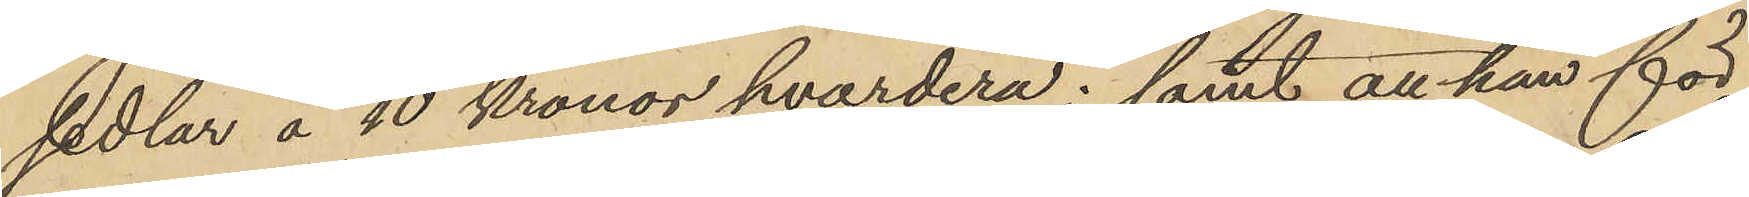sedlar å 10 Kronor hvardera; samt att han för
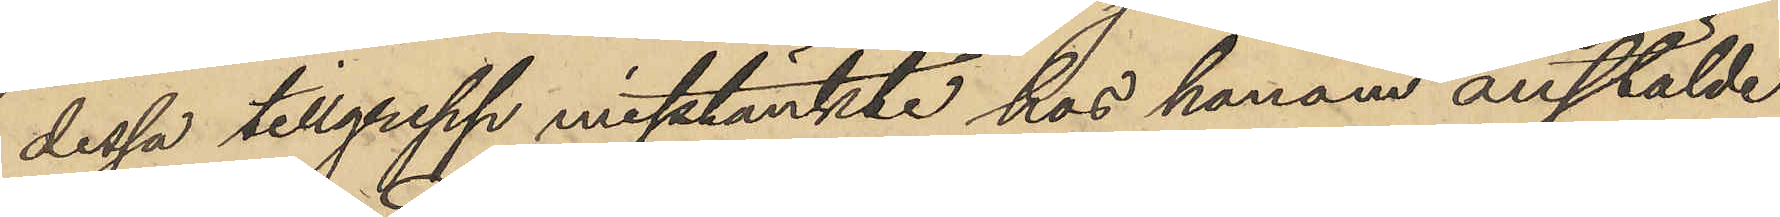dessa tillgrepp misstänkte hos honom anstälde
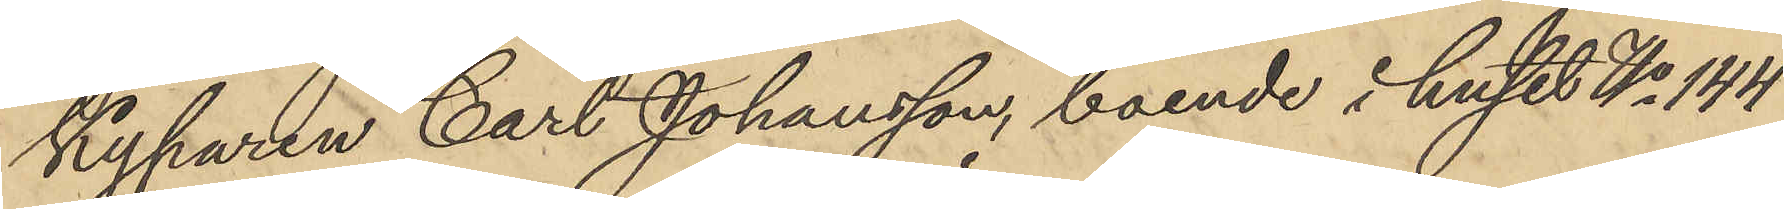Kyparen Carl Johansson, boende i huset No 144
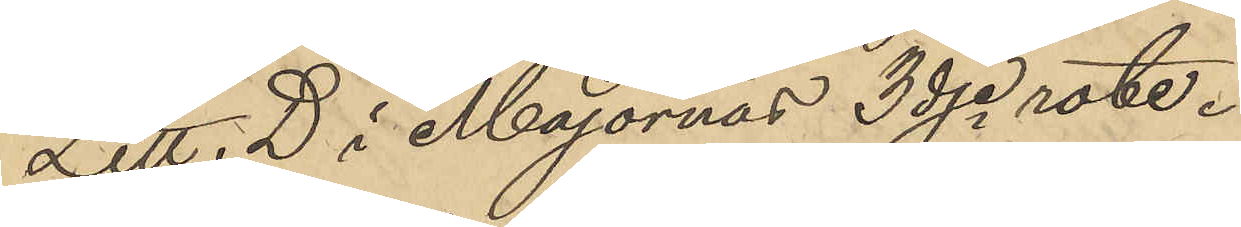Litt. D i Majornas 3dje rote.
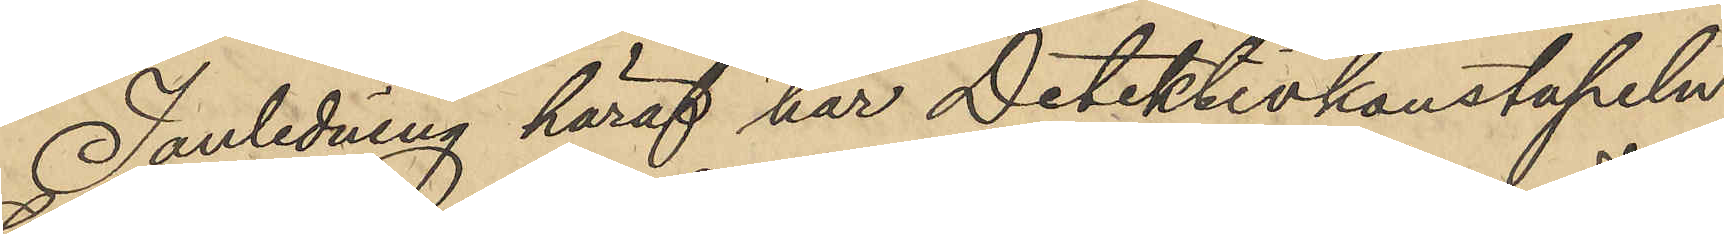I anledning häraf har Detektivkonstapeln
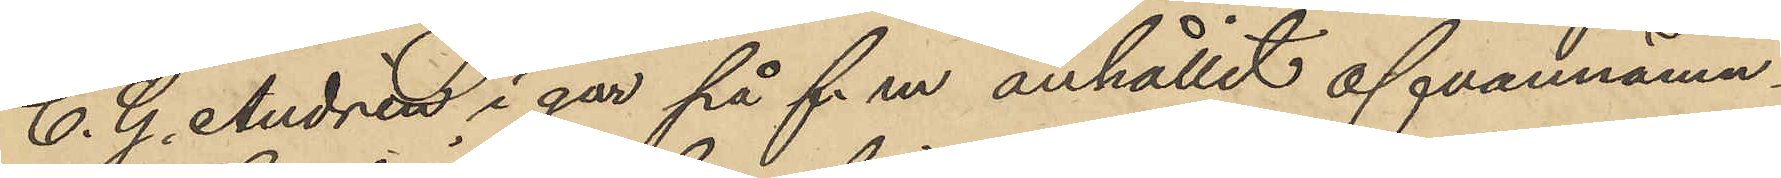C. G. Andrén i går på f.m anhållit ofvannämn¬
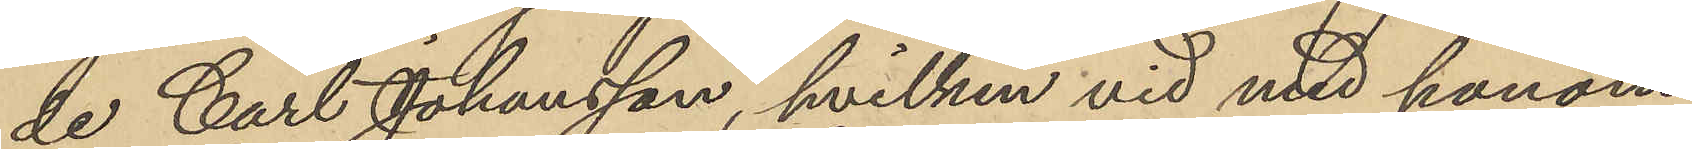de Carl Johansson, hvilken vid med honom
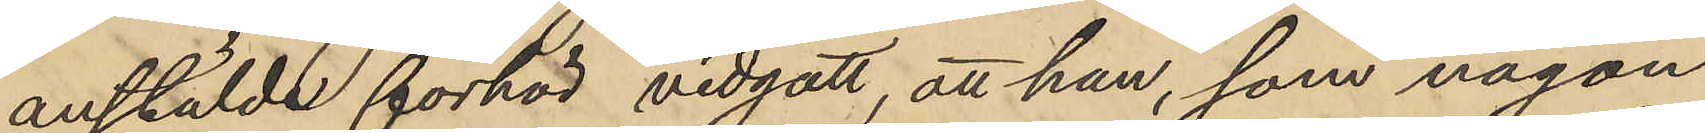anstälde förhör vidgått, att han, som någon
